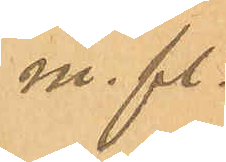m. fl.
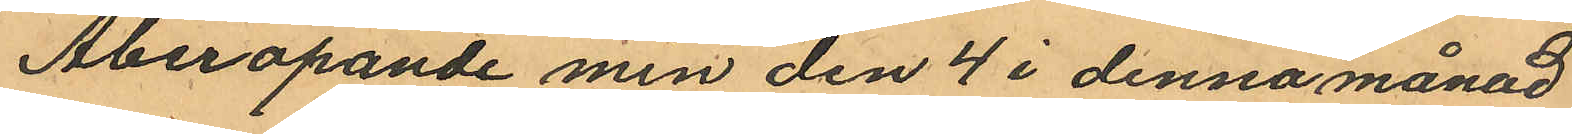Åberopande min den 4 i denna månad
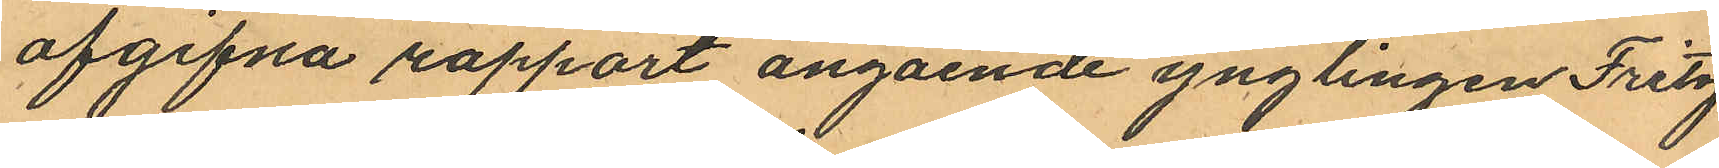afgifna rapport angående ynglingen Fritz
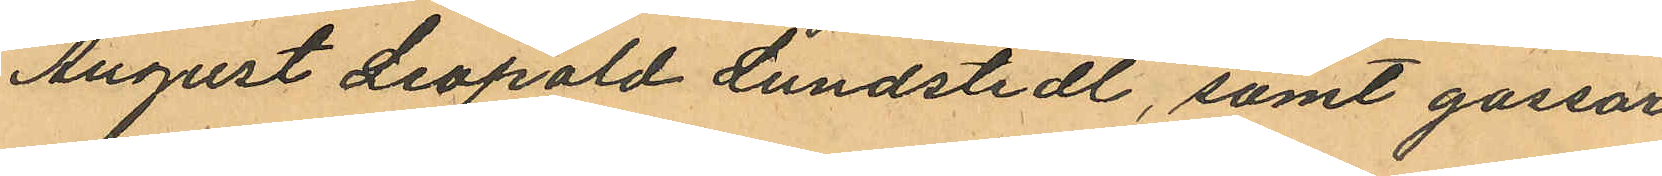August Leopold Lundstedt, samt gossar¬
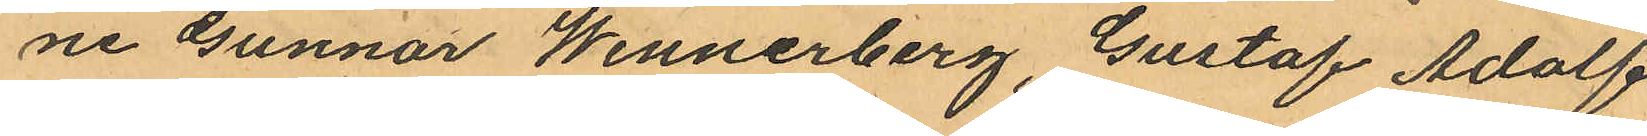ne Gunnor Wennerberg, Gustaf Adolf
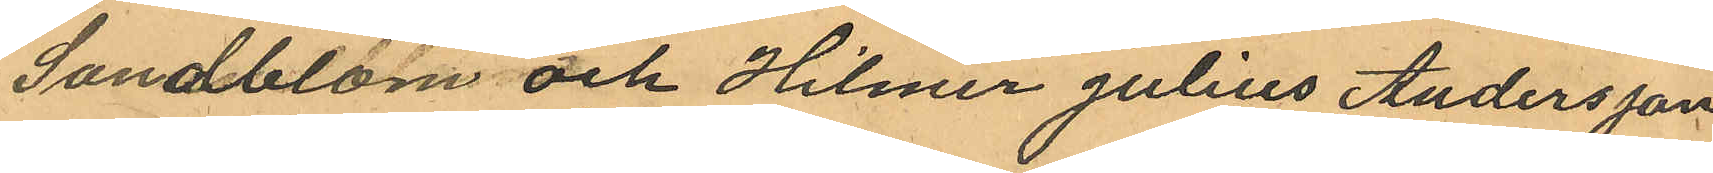Sandblom och Hilmer Julius Andersson
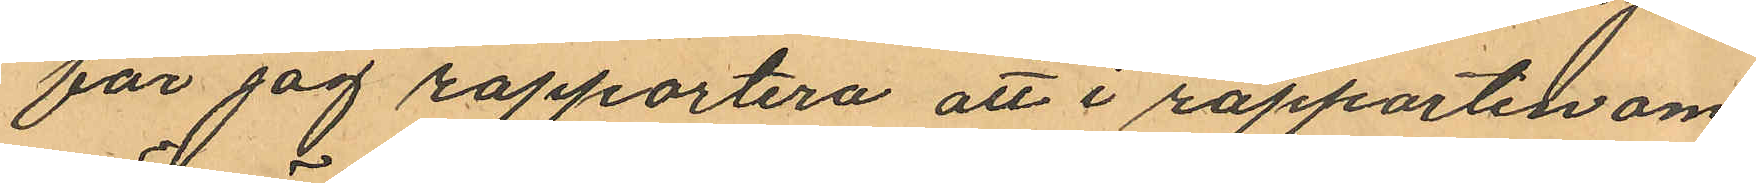får jag rapportera att i rapporten om¬
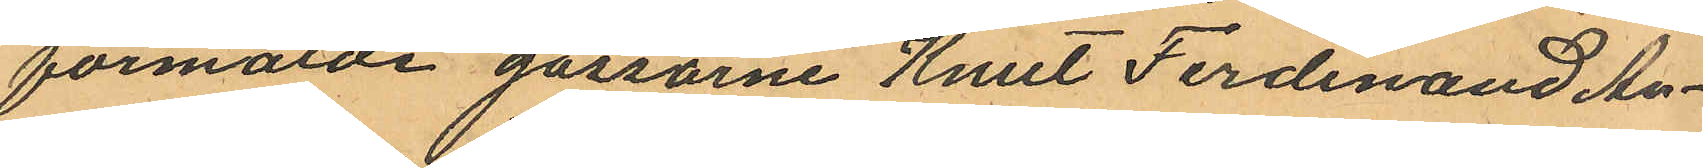förmälde gossarne Knut Ferdinand An¬
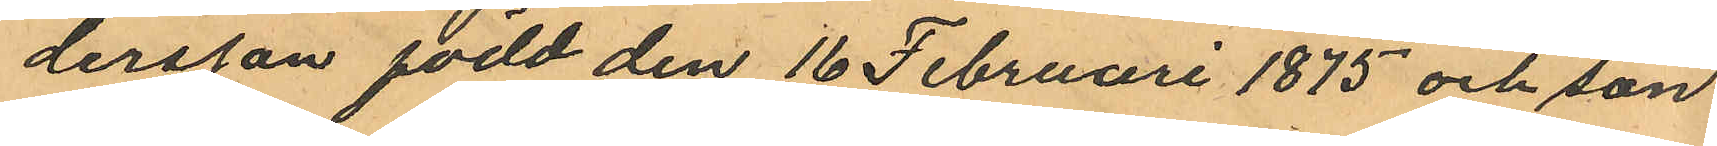dersson född den 16 Februari 1875 och son
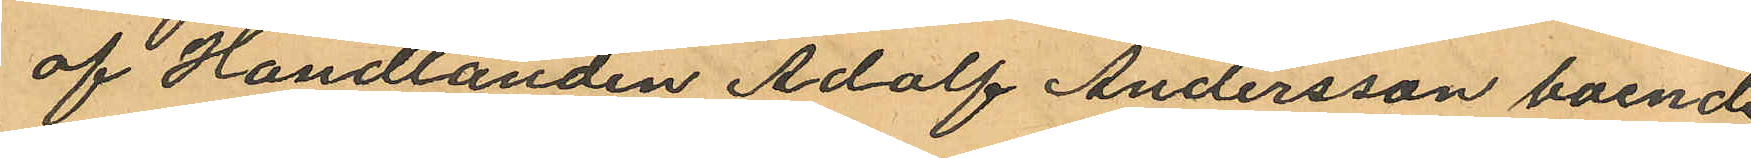af Handlanden Adolf Andersson boende
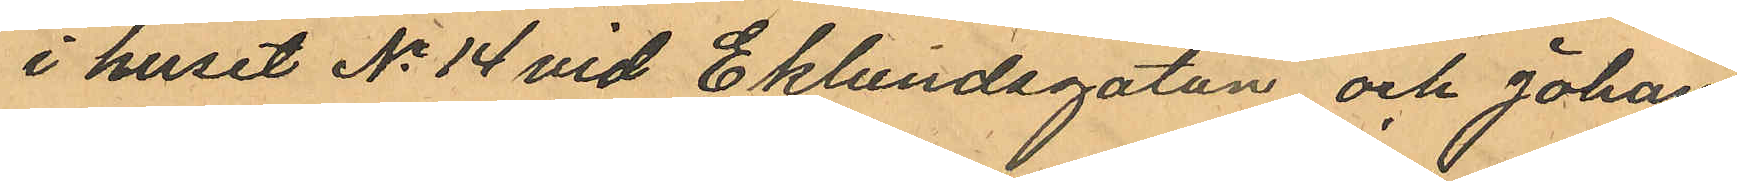i huset No 14 vid Eklundsgatan och Johan
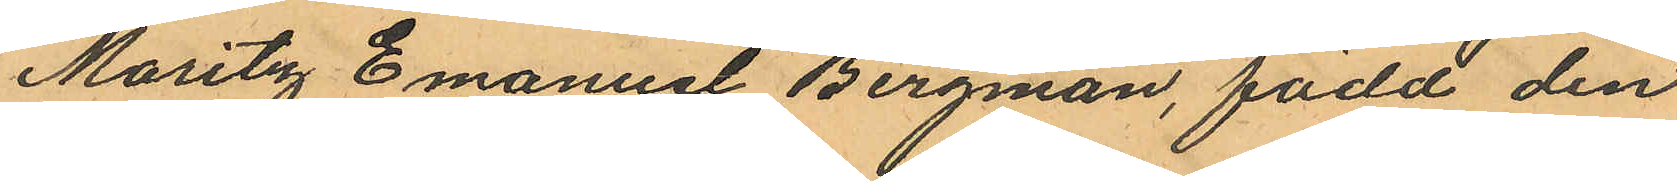Moritz Emanuel Bergman, född den
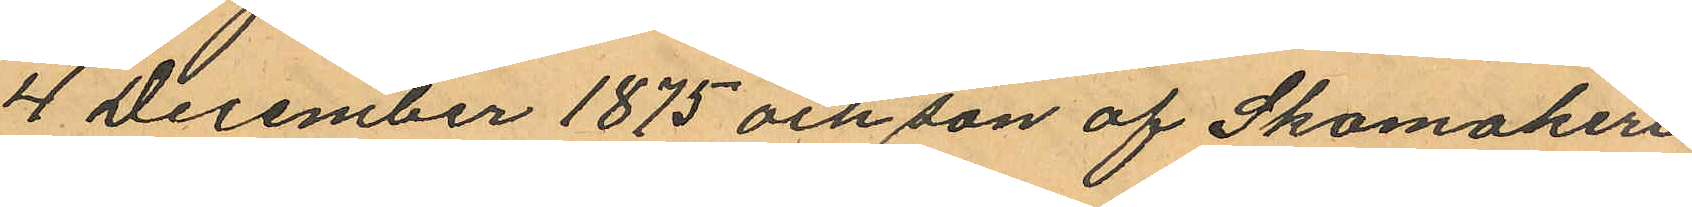4 December 1875 och son af Skomakeri
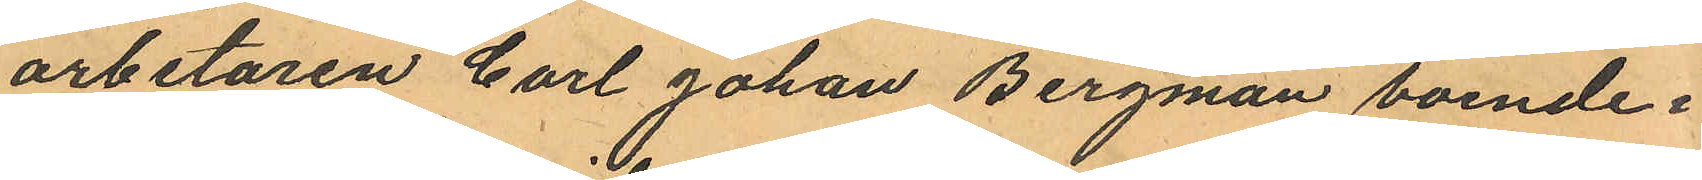arbetaren Carl Johan Bergman boende i
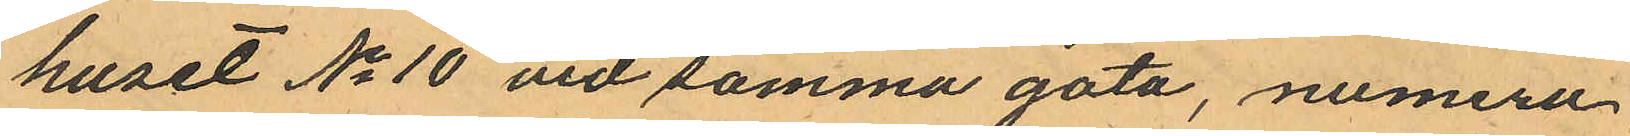huset No 10 vid samma gata, numera
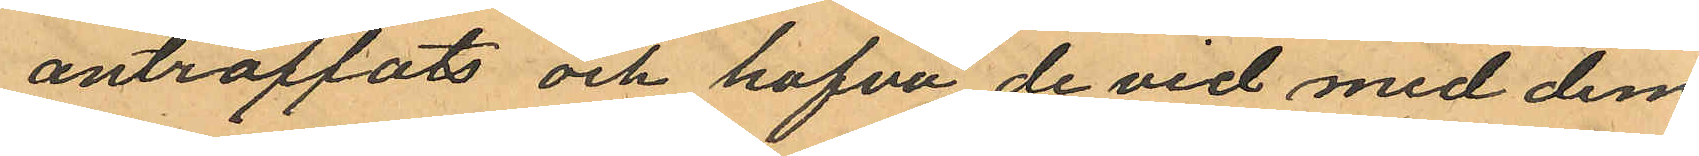anträffats och hafva de vid med dem
